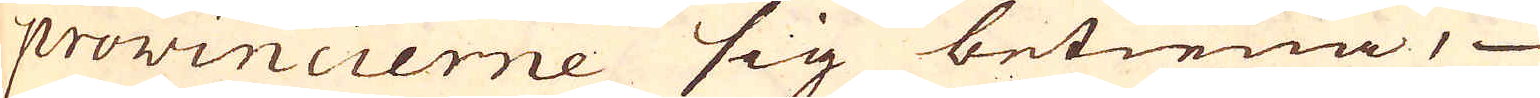provincierne sig betiena,
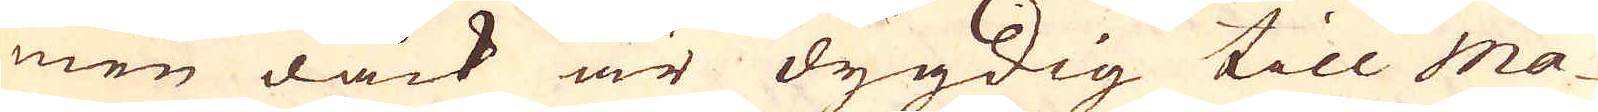men dåck är dygdig till Ma-
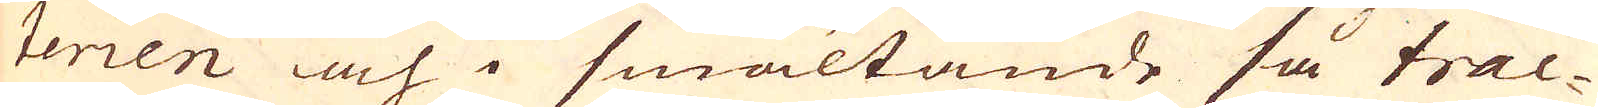terien och i smältande så trac-
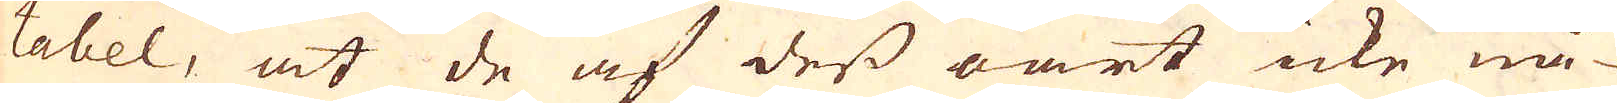tabel, at de af dess oart icke nå-
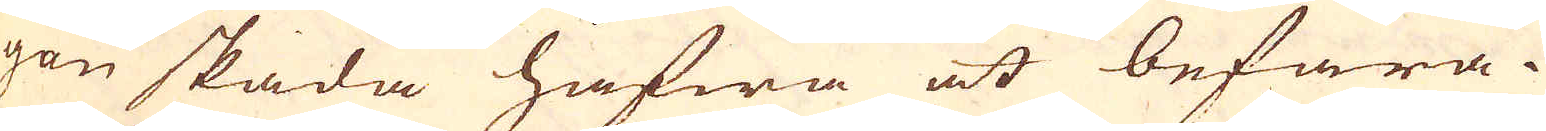gon skada hafwa at befara.
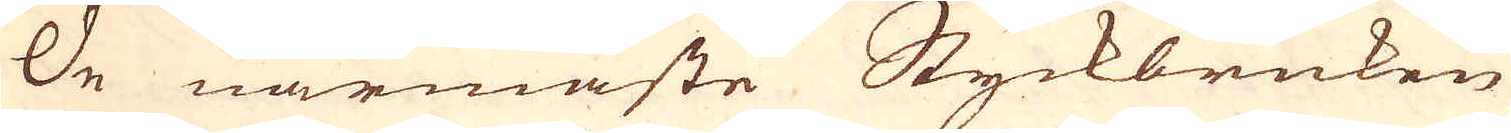De närmaste Styckbruken
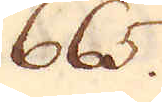665.
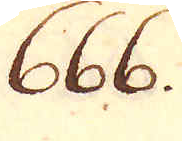666.
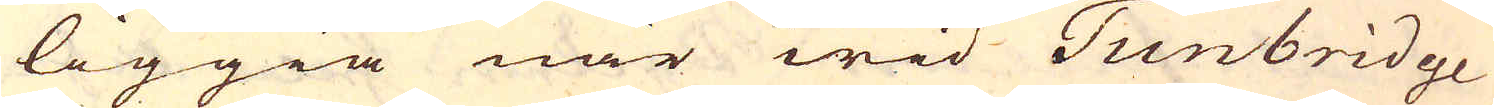liggia när wid Tunbridge
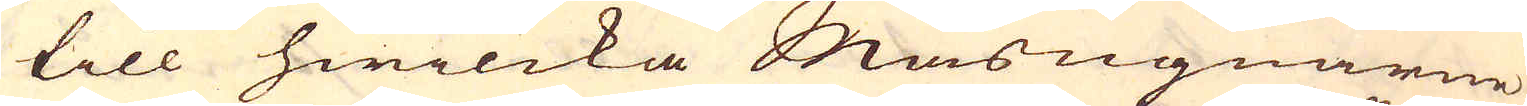till hwilcka Masugnarne
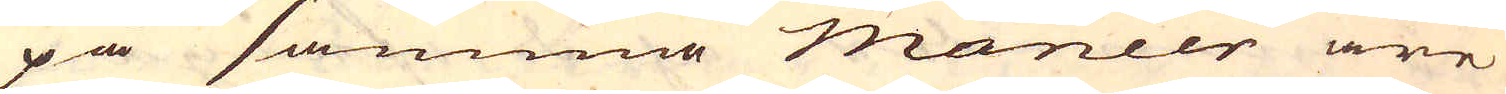på samma maneer äre
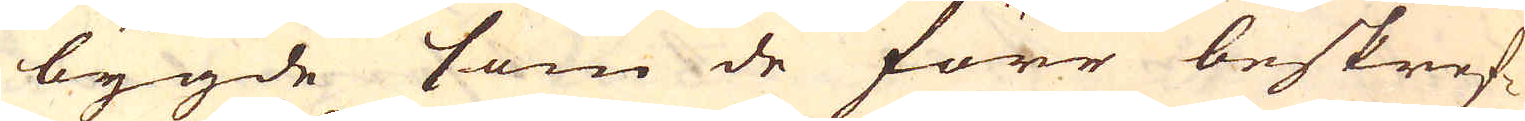bygde som de förr beskref-
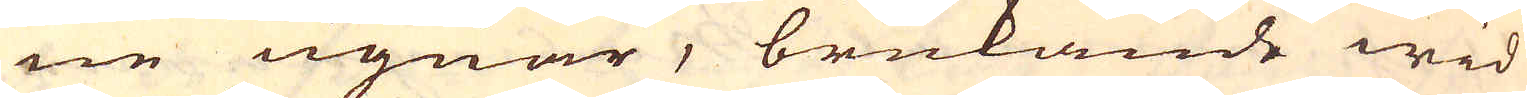ne ugnar, brukande wid
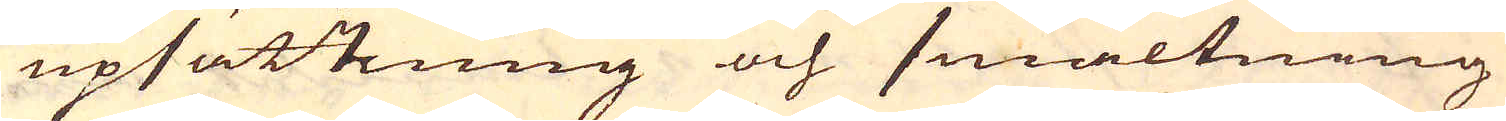upsättning och smältning
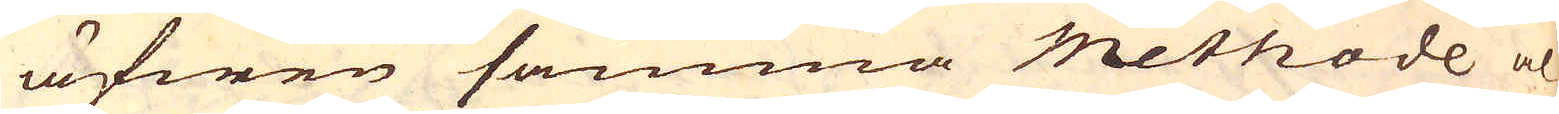äfwen samma methode al-
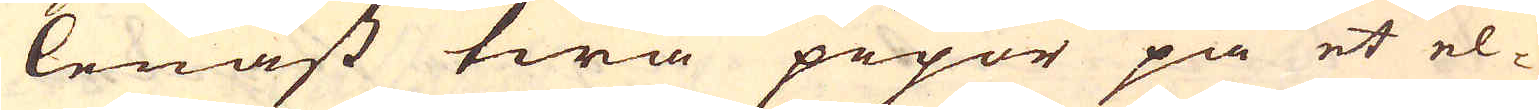lenast twå pipor på et el-
